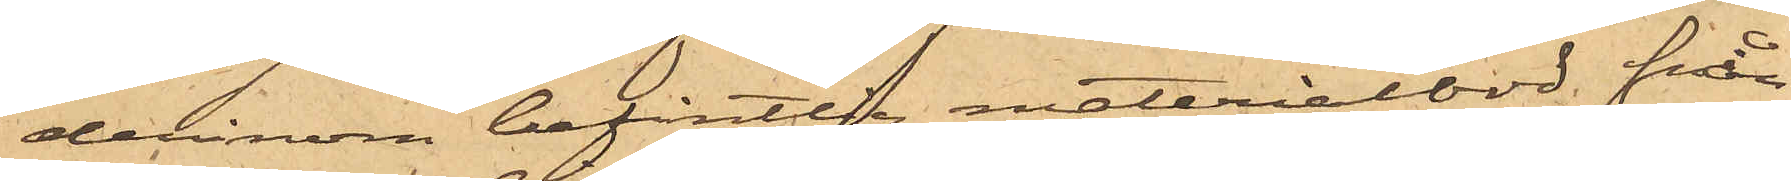derinom befintlig materialbod från
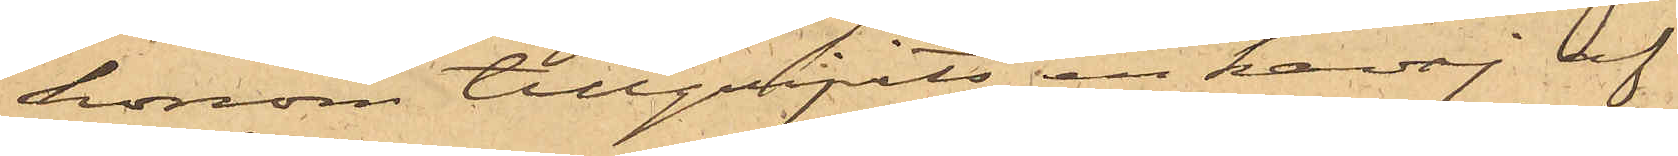honom tillgripits en kavaj af
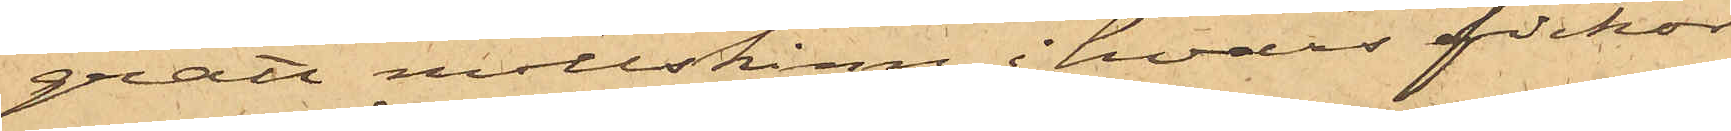grått mollskinn, i hvars fickor
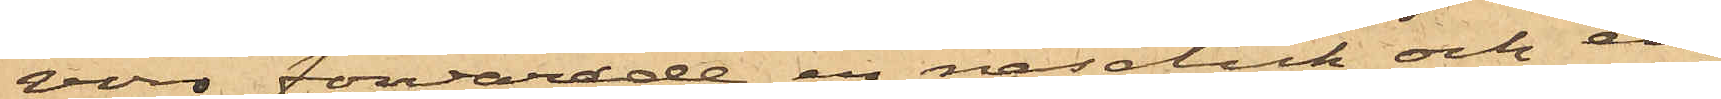voro förvarade en näsduk och en
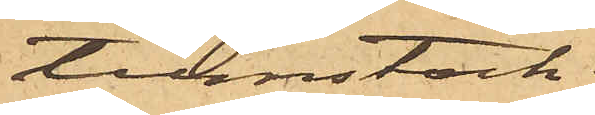tumstock.
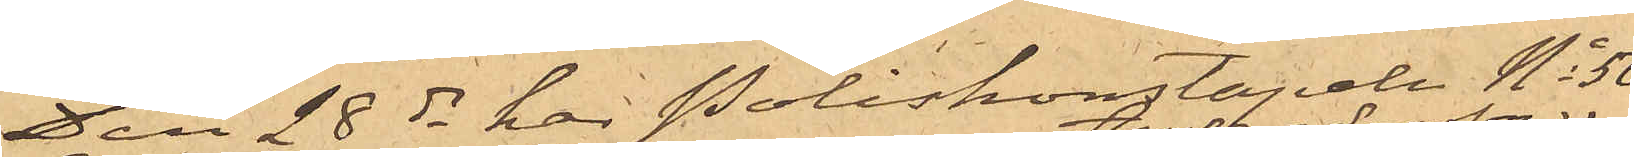Den 28 ds har Poliskonstapeln No 50
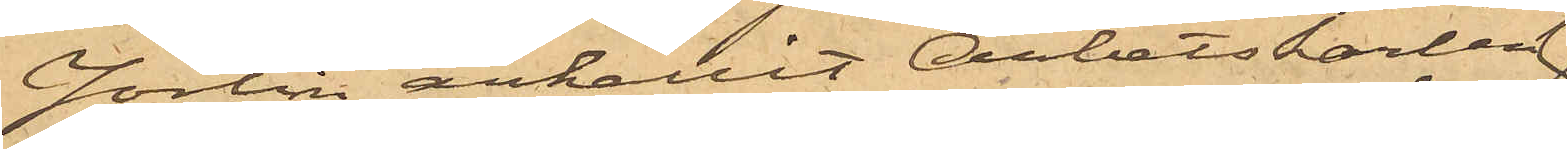Jörlin anhållit Arbetskarlen
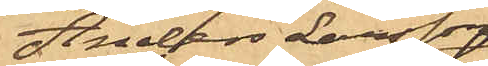Anders Larsson
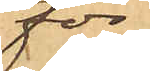för
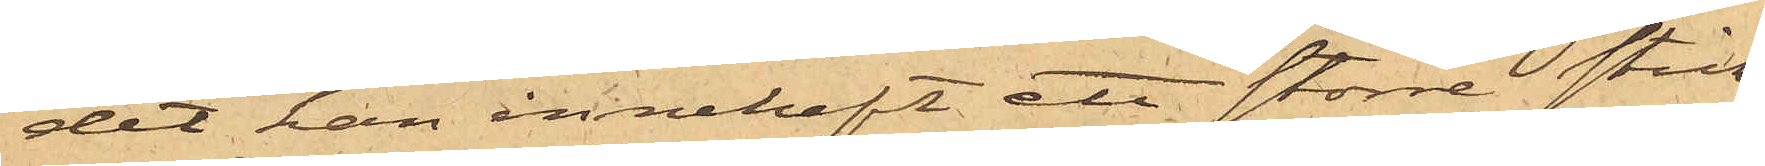det han innehaft ett större stick¬
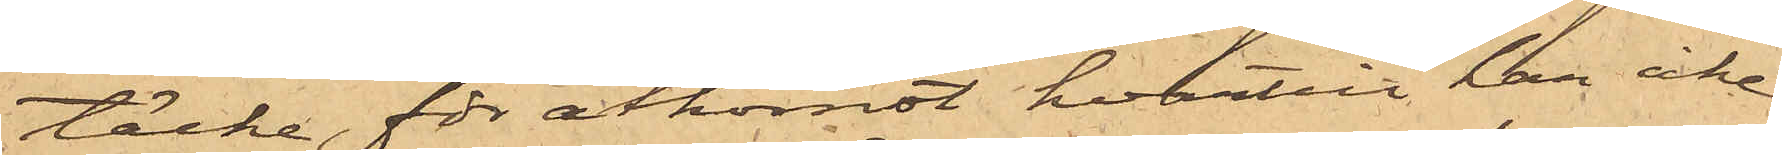täcke, för åtkomst hvartill han icke
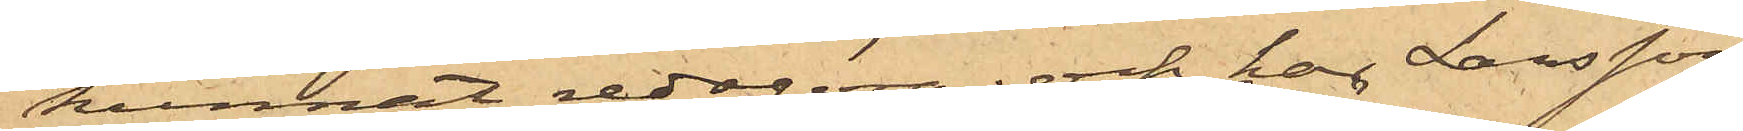kunnat redogöra; och har Larsson
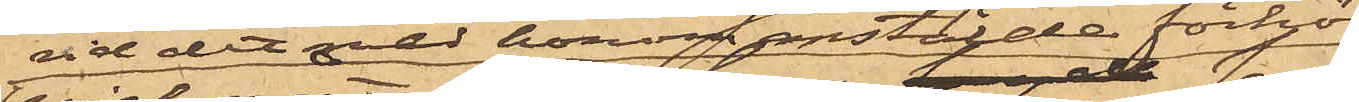vid det med honom anstälde förhör
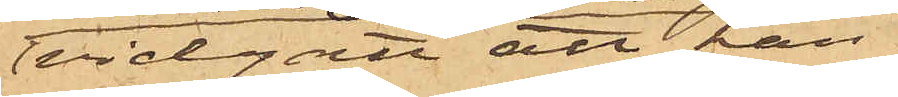vidgått att han
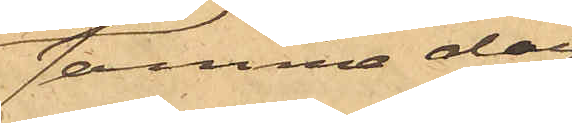samma dag
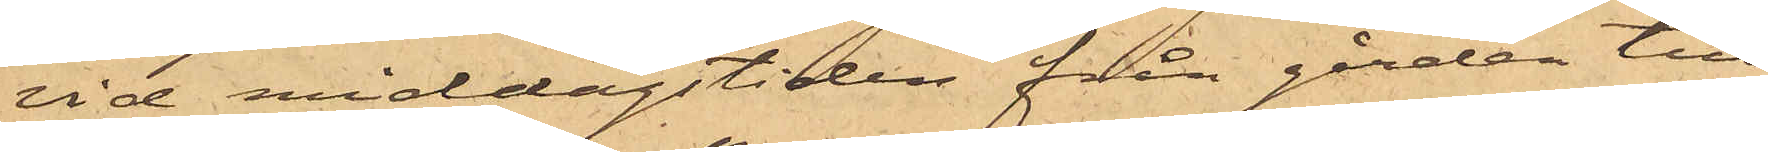vid middagstiden från gården till
